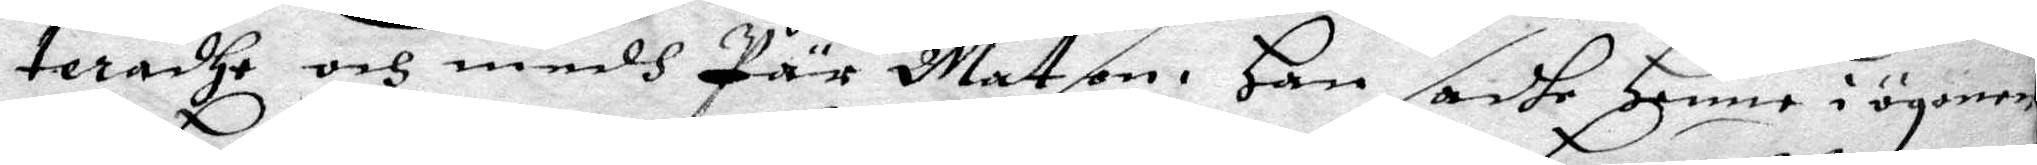teradhe och medh Pär Matson. Han sadhe Henne i ögonen
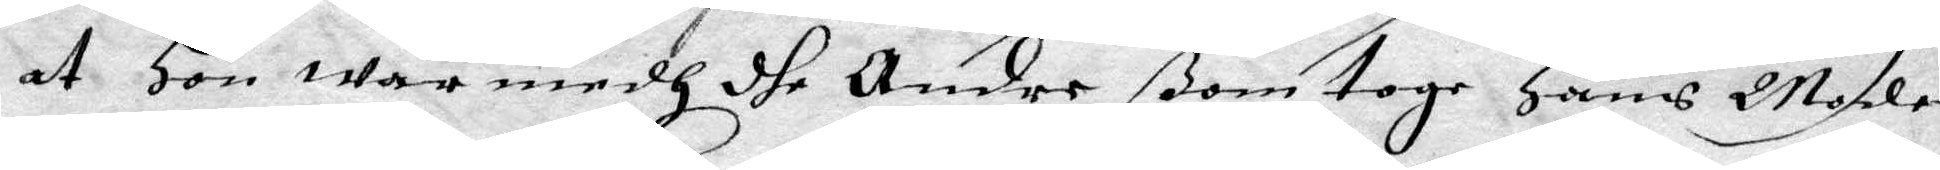at Hon war medh dhe Andre ßom toge Hans Moder
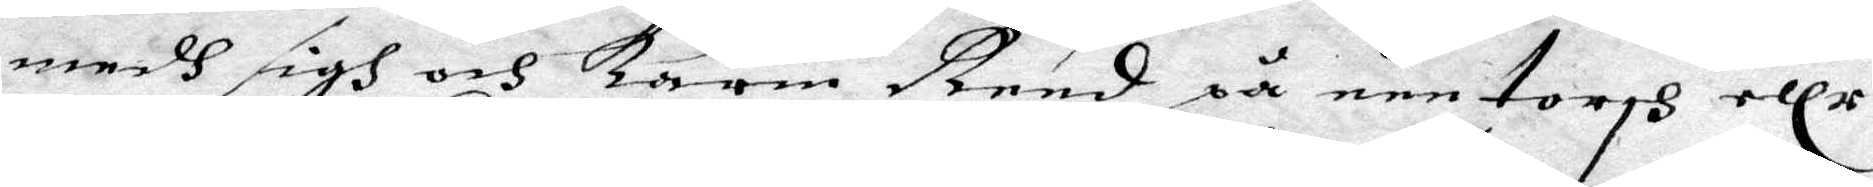medh sigh och Karin Rend på een torgh ellr
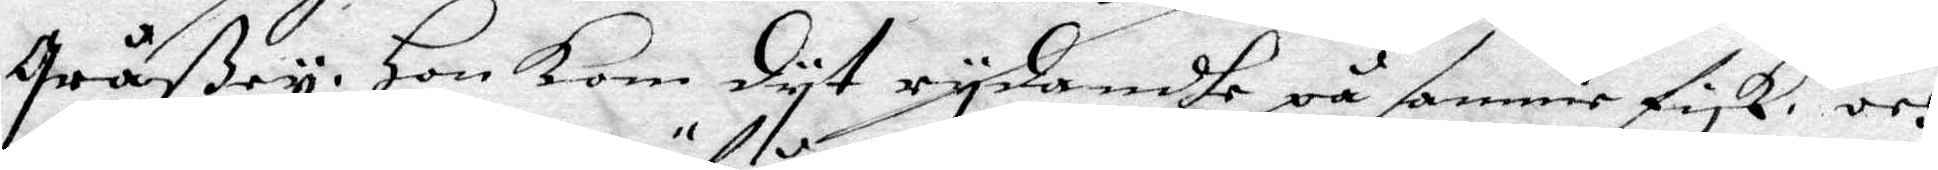Gråßey. Hon kom dyt rydandhe på samme fisk, och
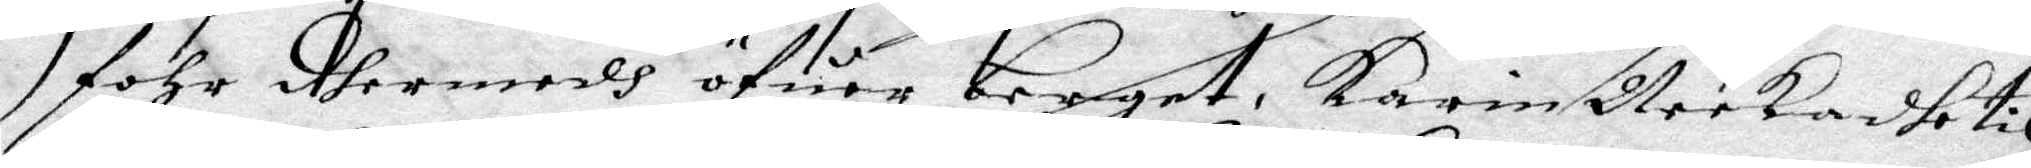föhr dhermedh öfuer berget. Karin Neekadhe til
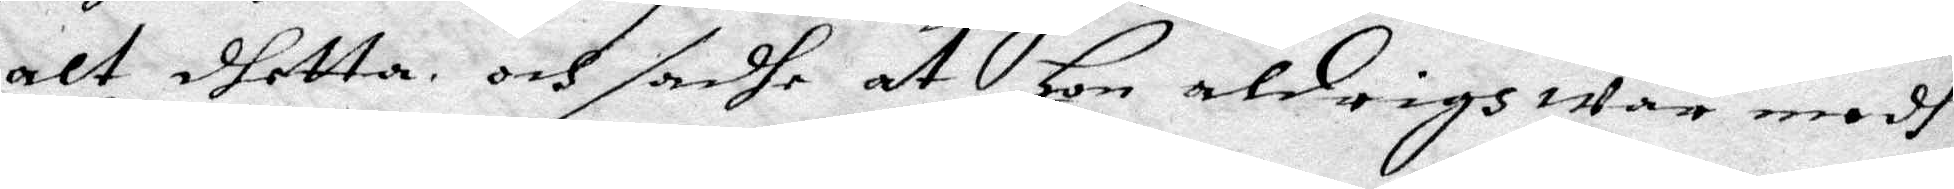alt dhetta, och sadhe at Hon aldrigh war medh
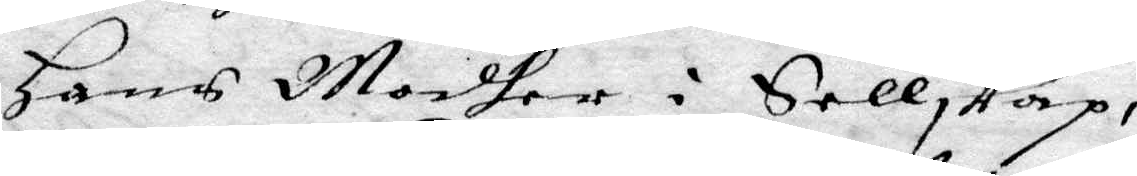Hans Modher i Sellskap.
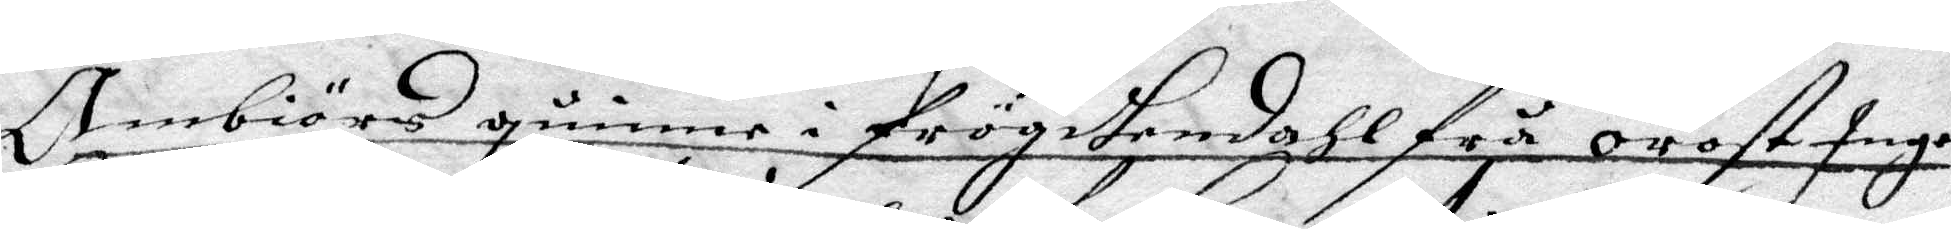Ambiörs quinne i frögdsendahl frå orost Inge¬
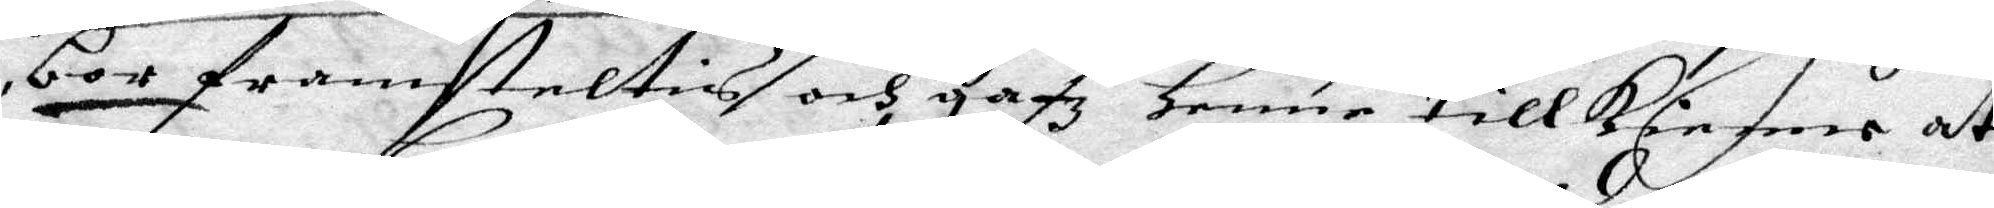bor framsteltis och gafz Henne tillkkienne at
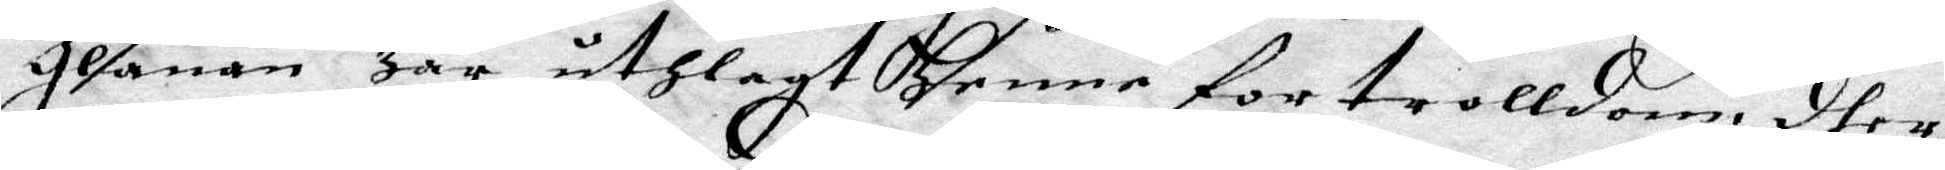glanan Har uthlagt dhenne for trolldom, dher
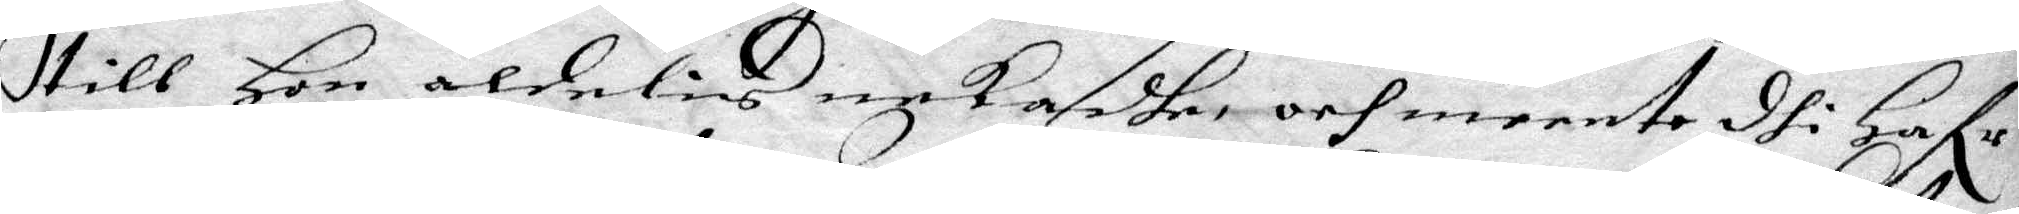till Hon aldelis nekadhe och meente dhi Hafr:
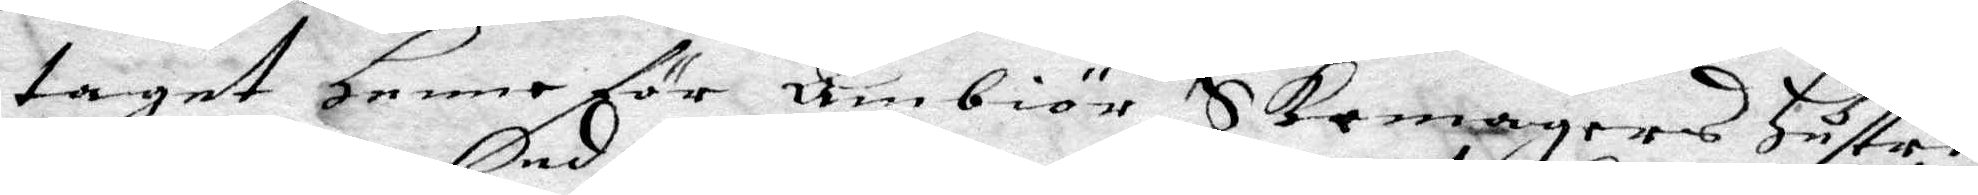taget Henne för Ambiör Skomgers Hustru
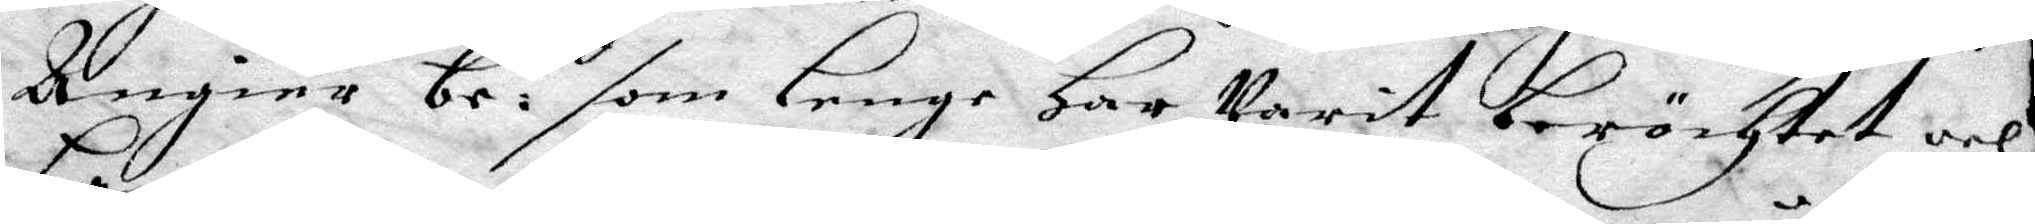Ängier be:nd som Lenge Har Varit beröchtet och 
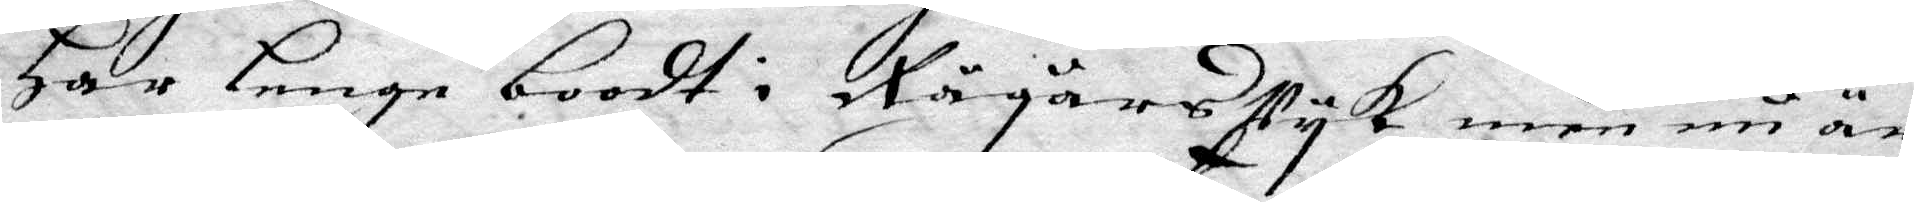Har Lenge boodt i Rågårs Vyk, een nu är
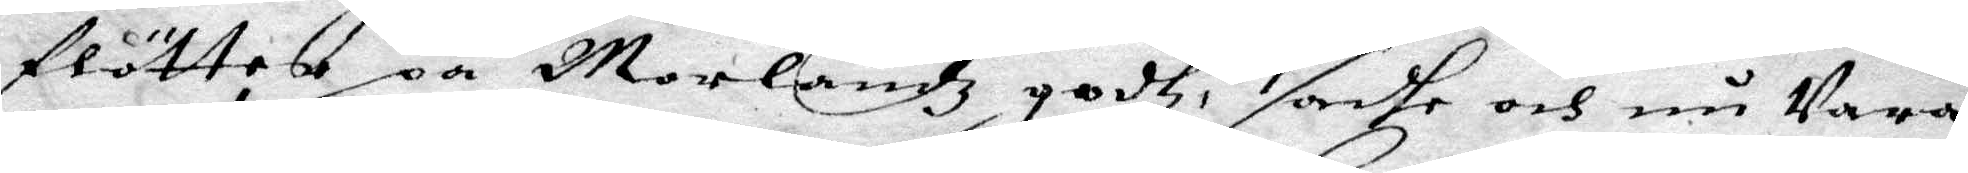flötter på Morlandz godtz, sadhe och nu Vara
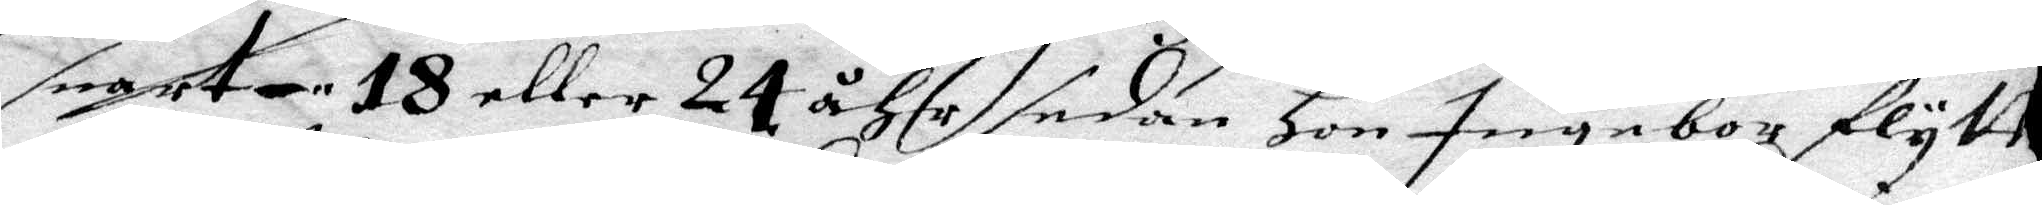snart 18 eller 24 åhr, sedan Hon Ingabor flytte
